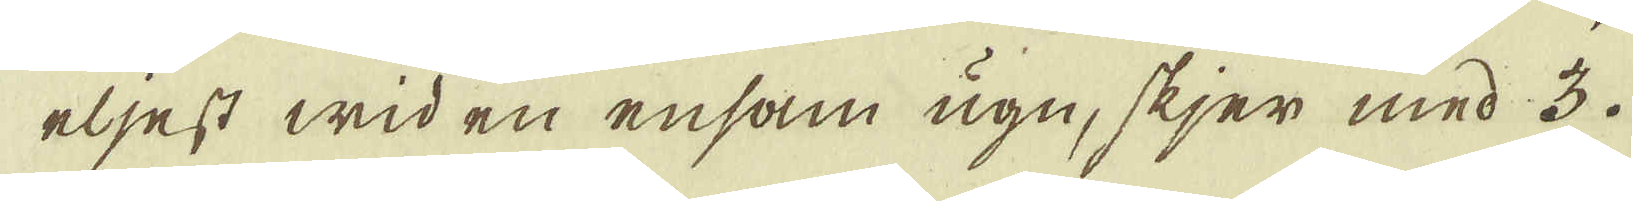eljest wid en ensam ugn, skjer med 3.
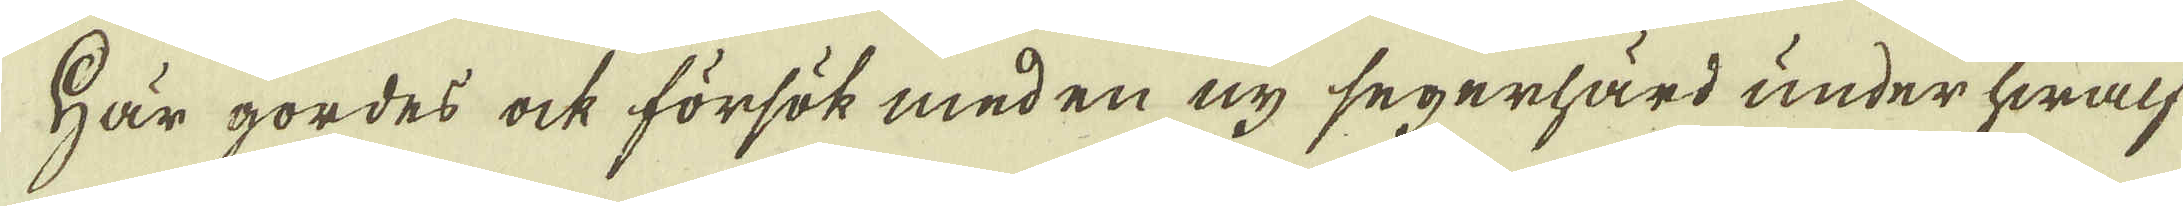Här gordes ock försök med en ny segerhärd under hwalf
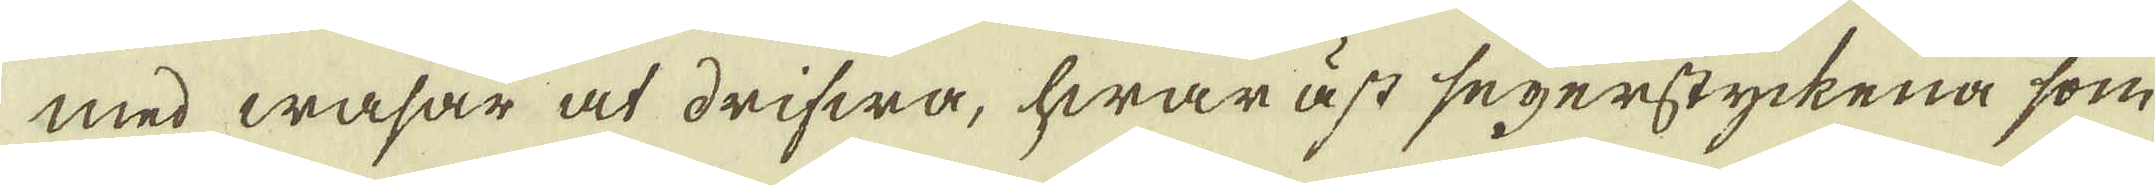med wasar at drifwa, hwaräst segerstyckena som
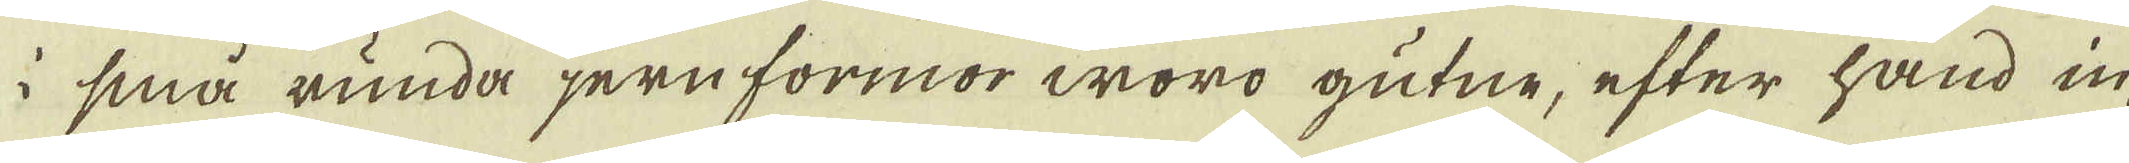 små runda jern formor woro gutne, efter hand in-
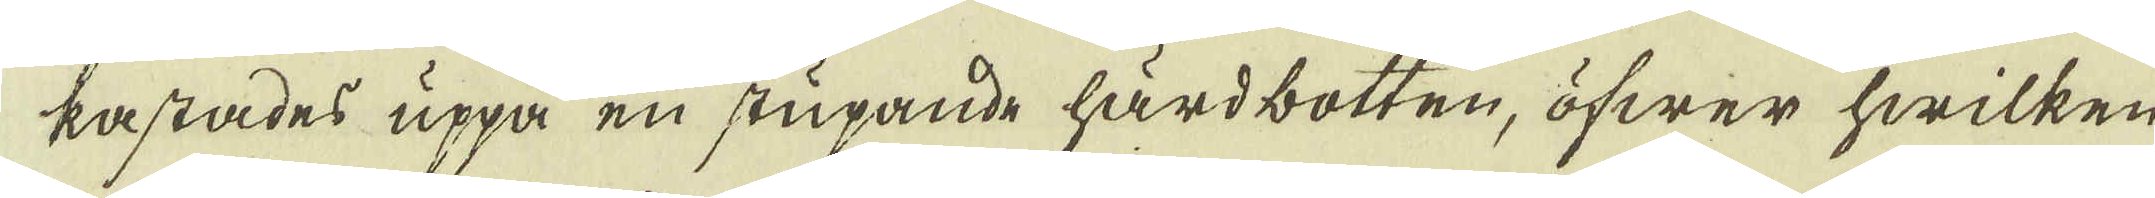kastades uppå en stupande hårdbotten, öfwer hwilken
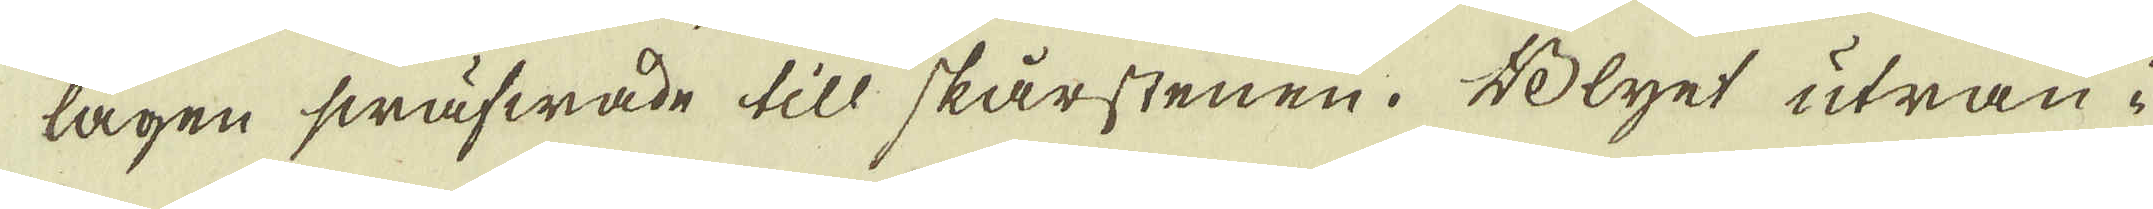lagen swäfwade till skärstenen. Blyet utran i
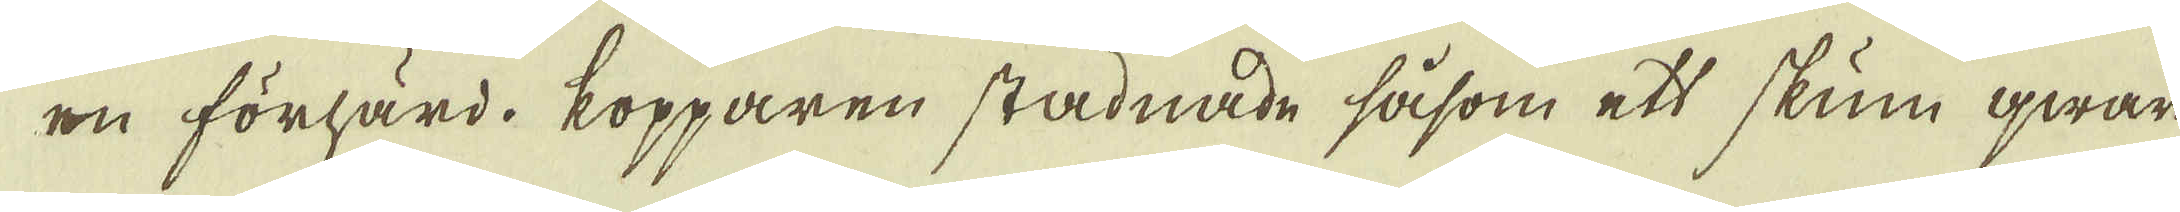ru förhärd. Kopparen stadnade såsom ett skum qwar
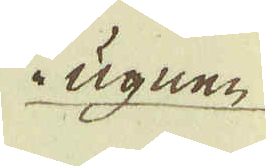i ugnen
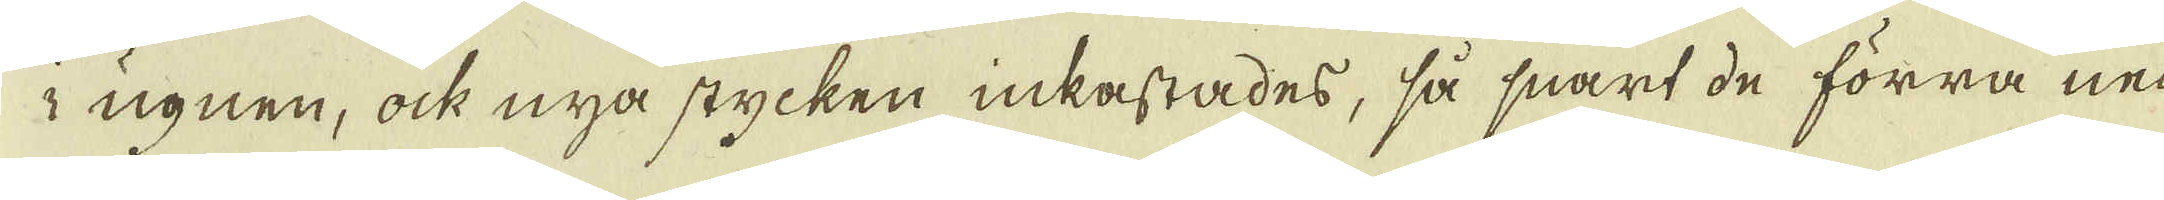i ugnen, ock nya stycken inkastades, så snart de förra ned-
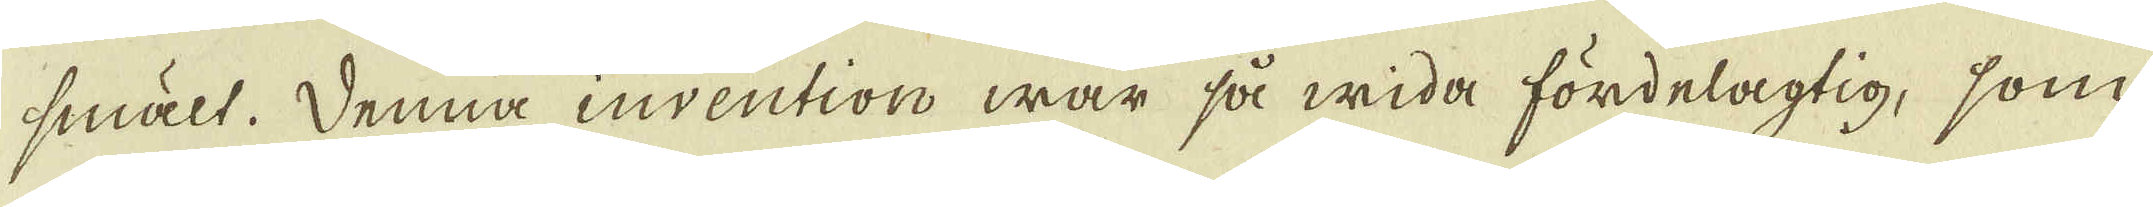smält. Denna invention war så wida fördelagtig, som
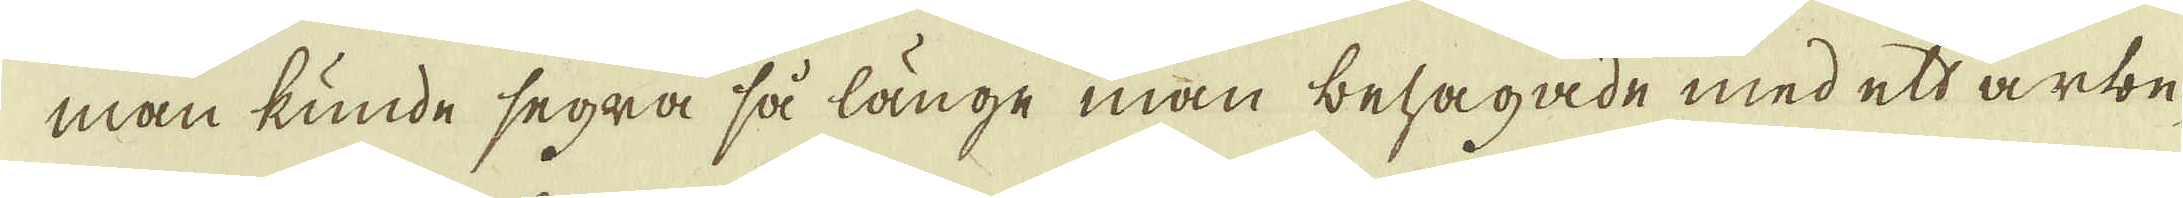man kunde segra så länge man behagade med ett arbe-
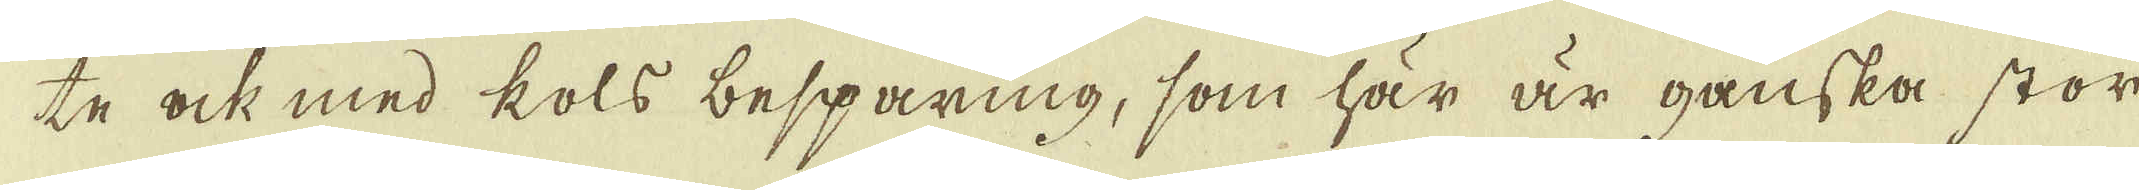te ock med kols besparing, som här är ganska stor
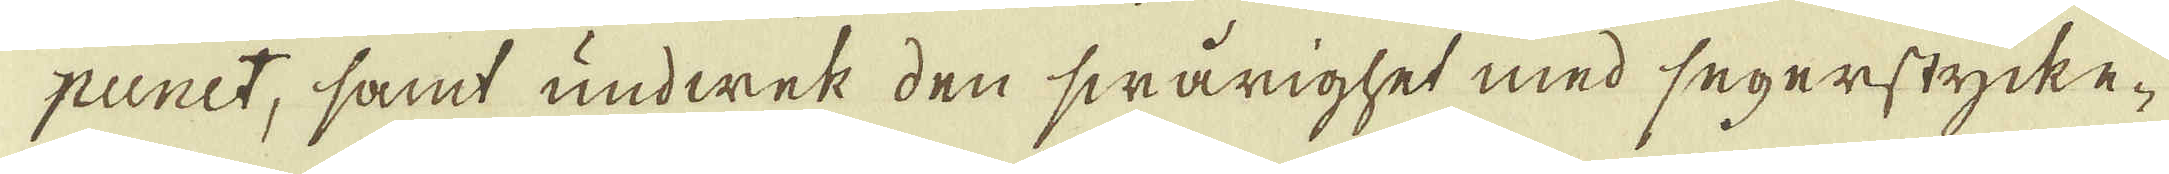punit, samt undwek den swårighet med segerstycke-
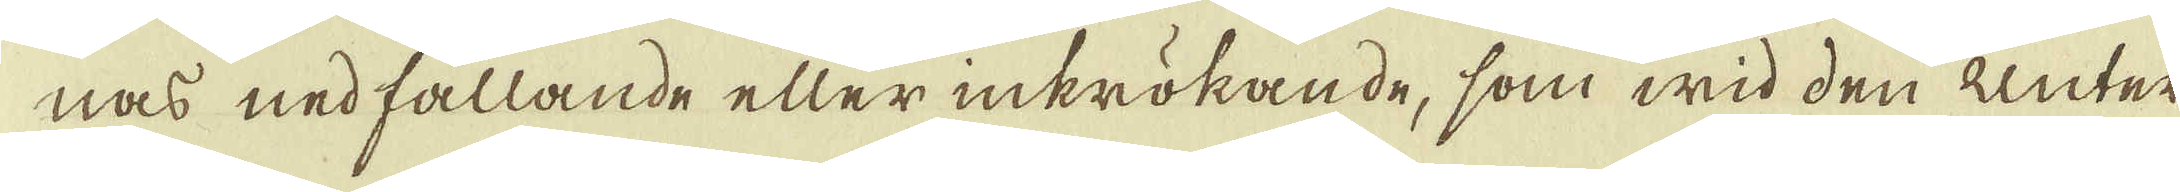nas nedfallande eller inkrökande, som wid den Unter-
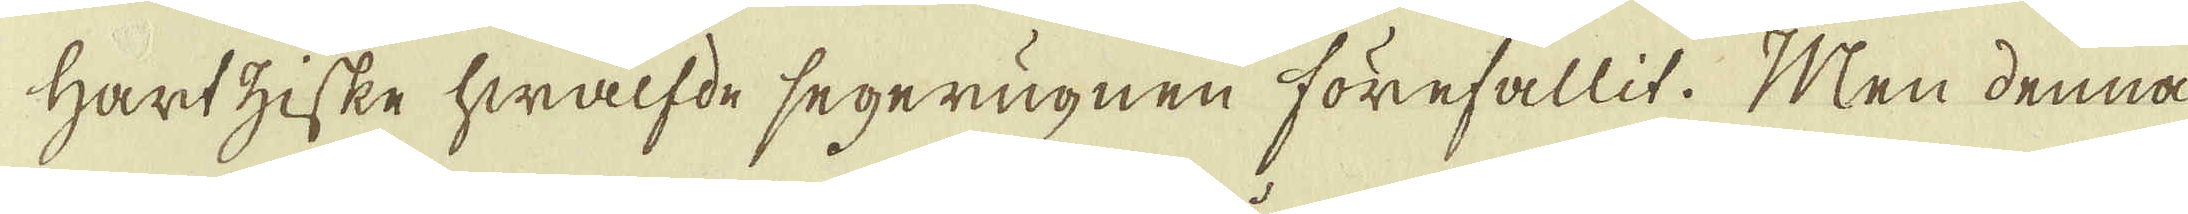Hartziske hwalfde segerugnen förefallit. Men denna
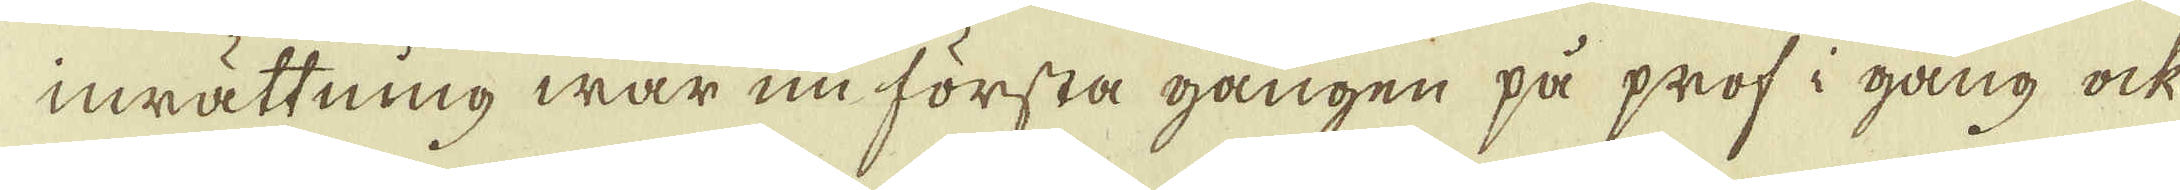inrättning war nu första gången på prof i gång ock
